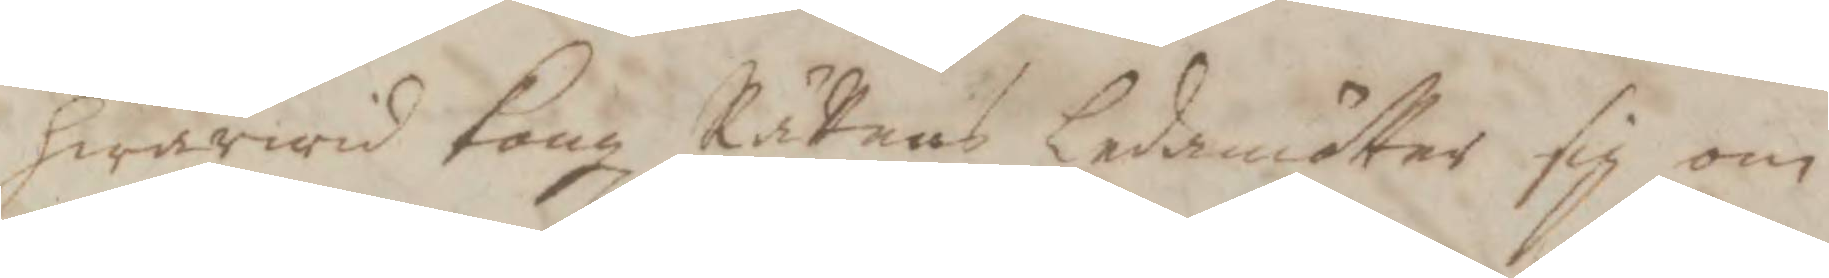hwarwid Kongl Rättens ledamöter sig om
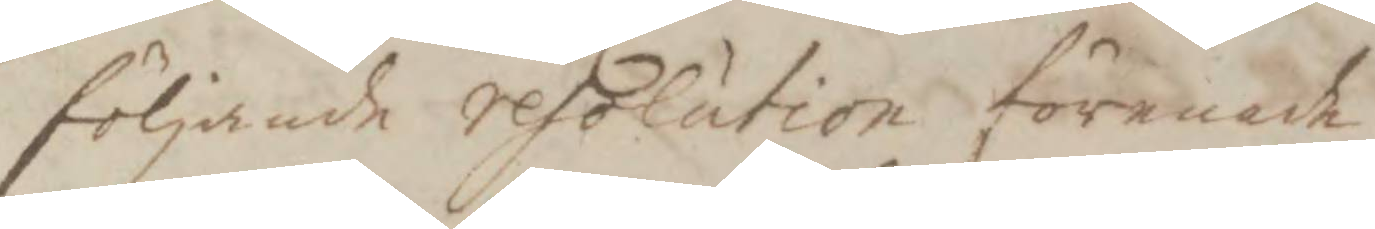följande resolution förenade
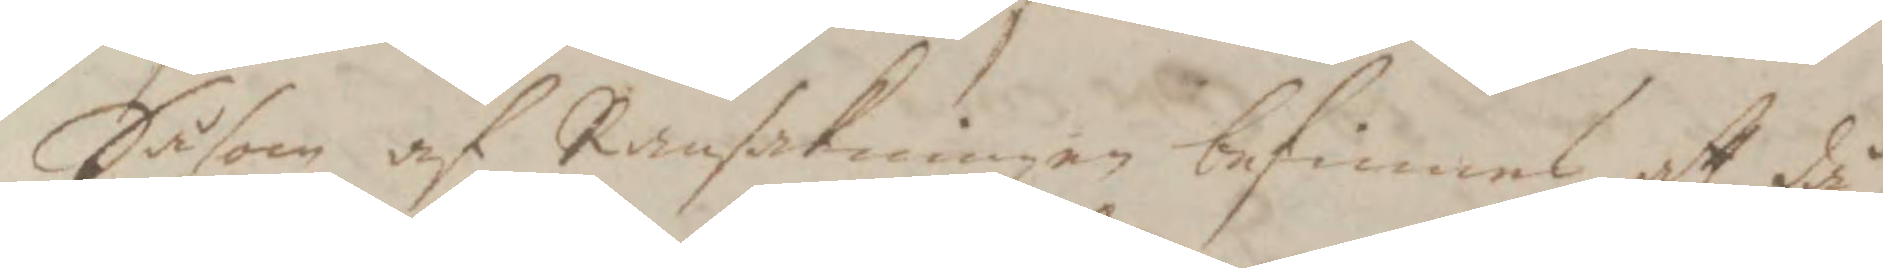Såsom af Ransakningen befinnes att då
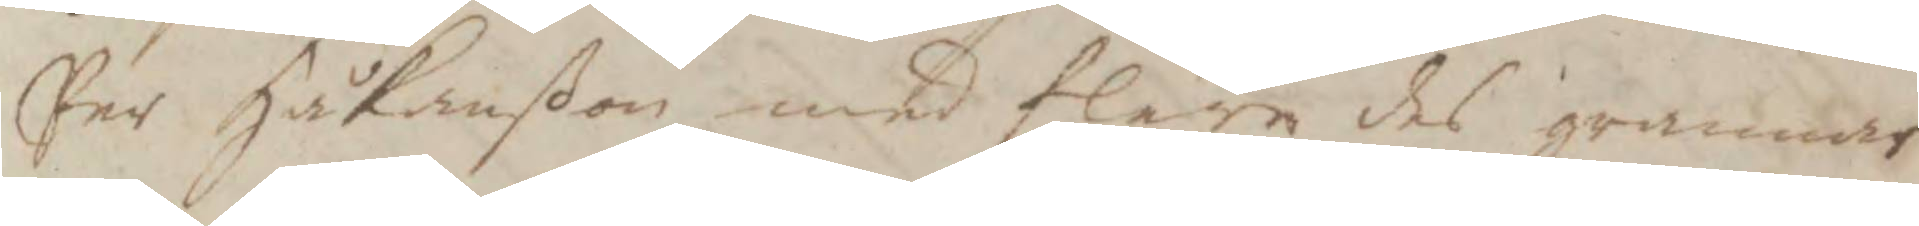Per Håkanßon med flera des grannars
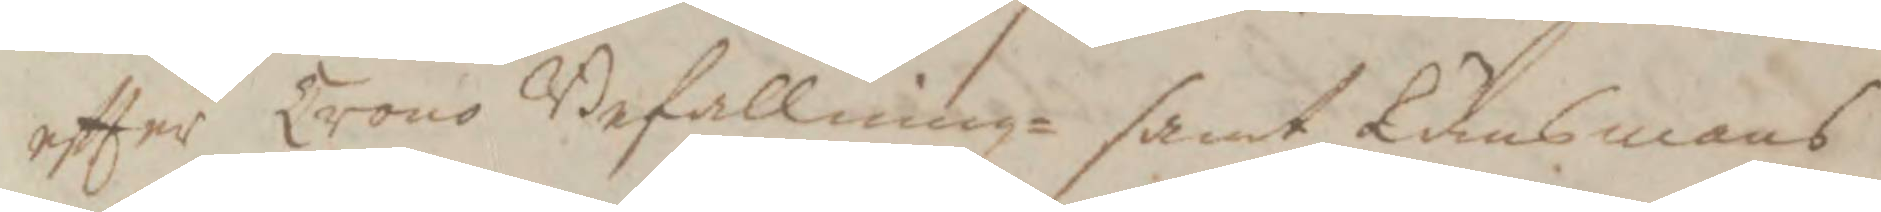eftter Krono Befallning¬ samt Länsmans
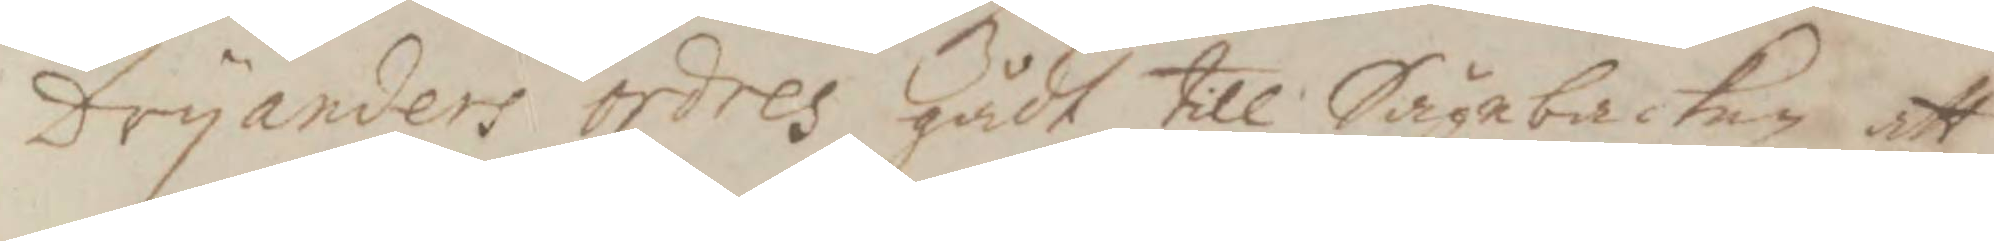Dryandes ordres gådt till Sågebacken att
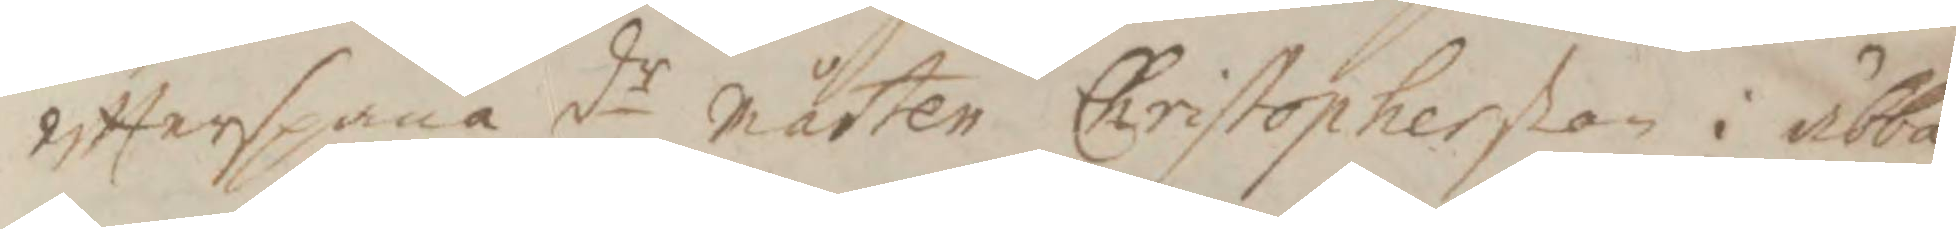eftterspana dr mårten Christopherßon i ubba¬
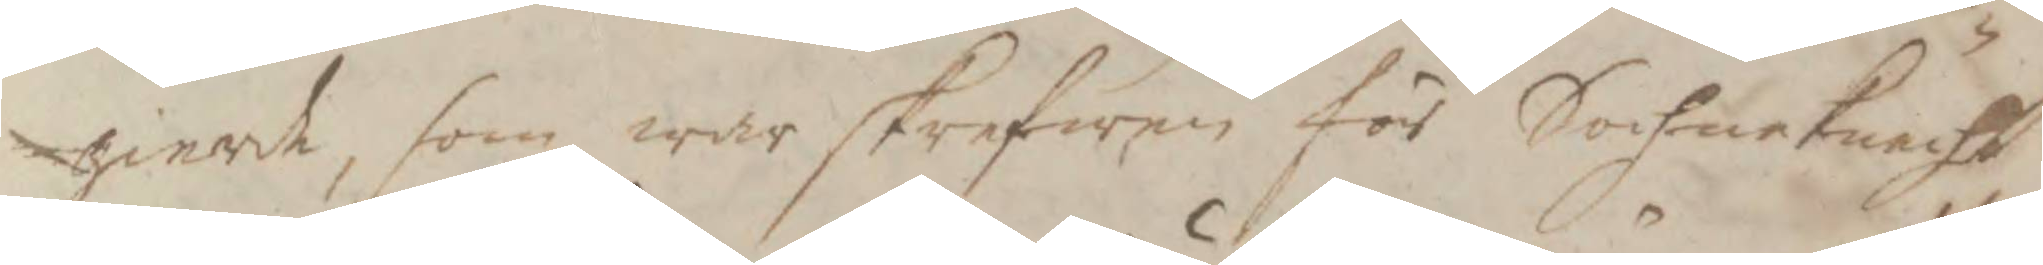gierd, som war skrefwen för Sochneknecht
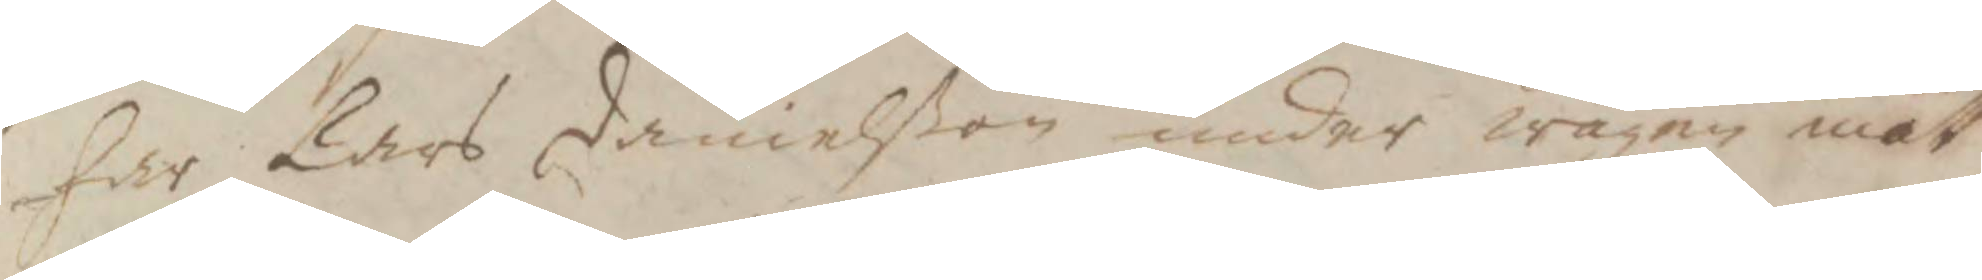har Lars danielßon under under wägen mött
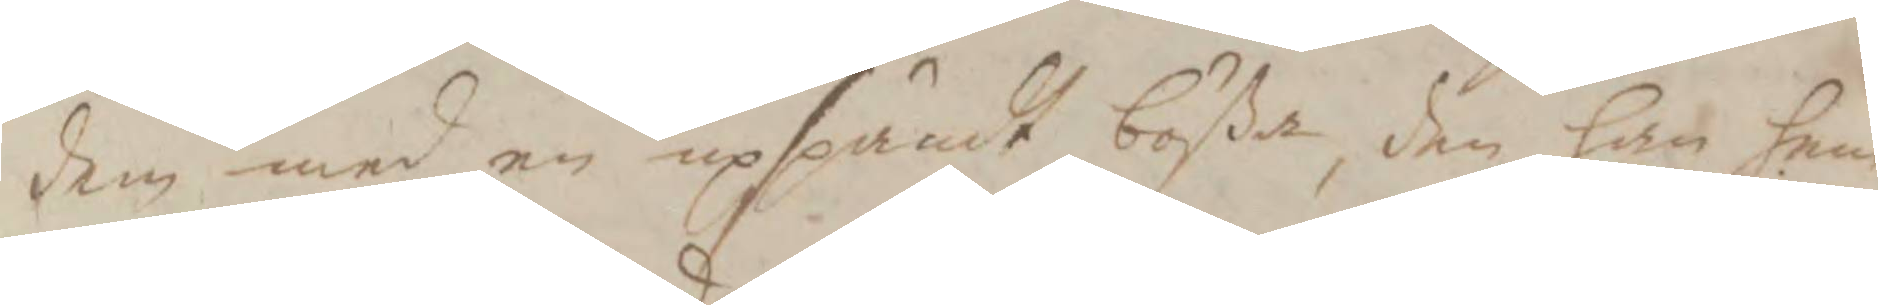dem med en upspändt bößa, den han hem¬
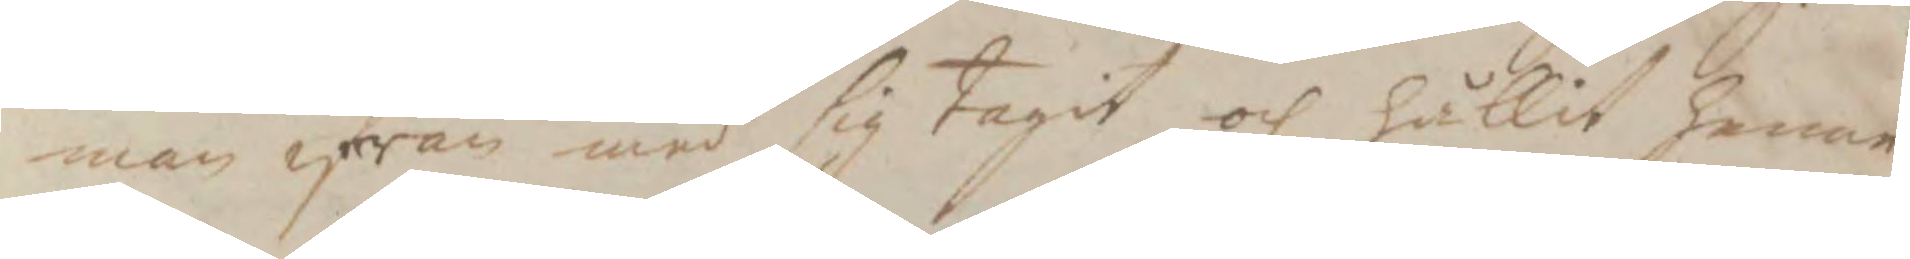man ifrån med sig tagit och hållit henne
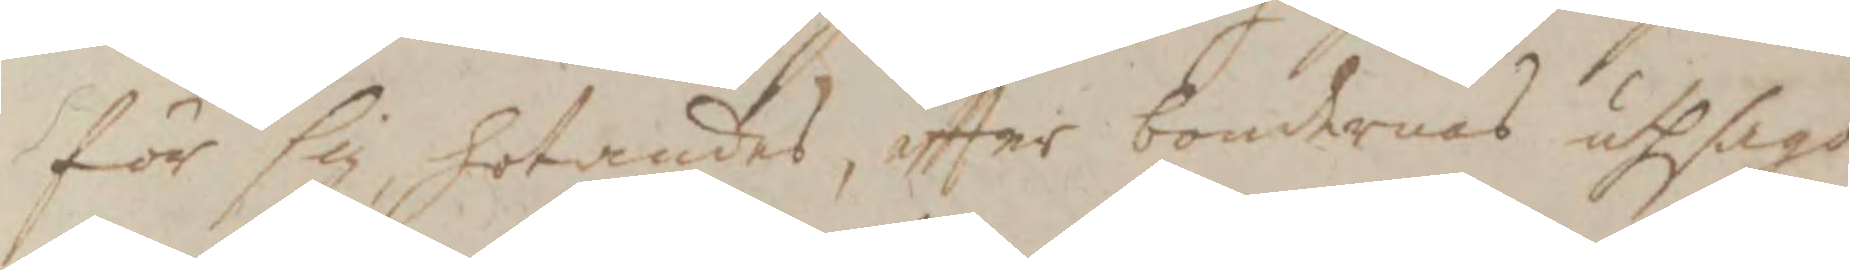för sig, hotandes, eftter bondrnes uthsago
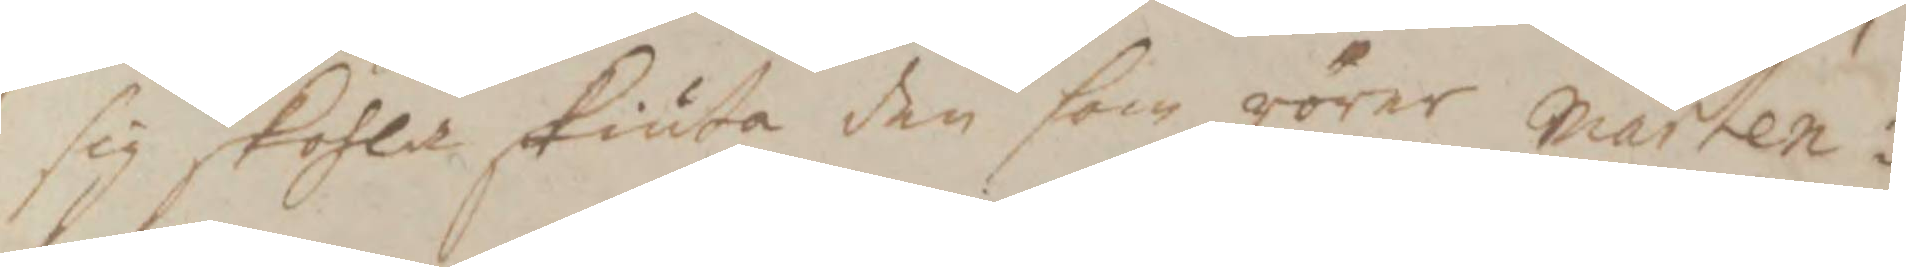sig skohla skiuta den som rörer Mårten i
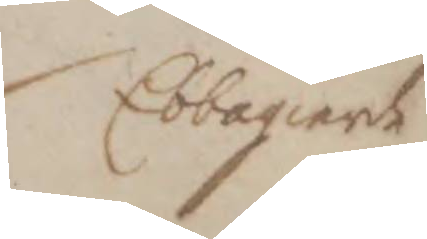Ebbagierde
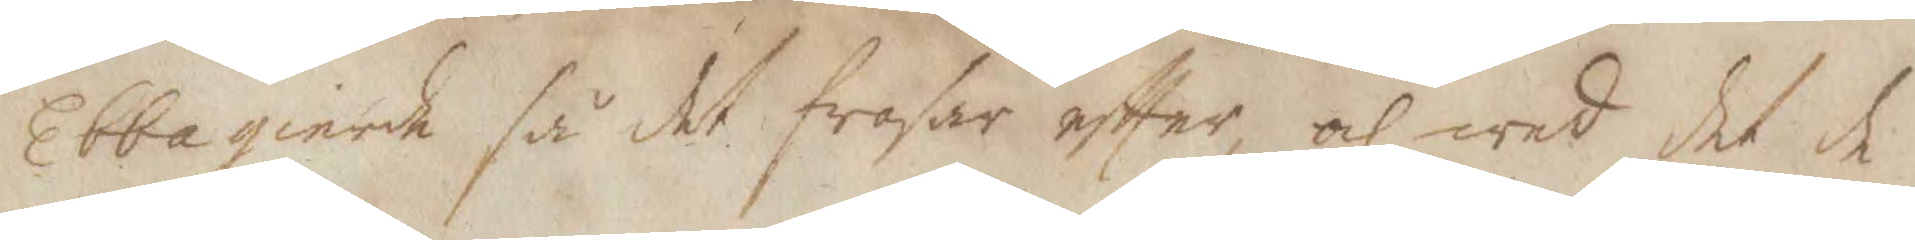Ebbagierde så det frosar eftter, och wad det de
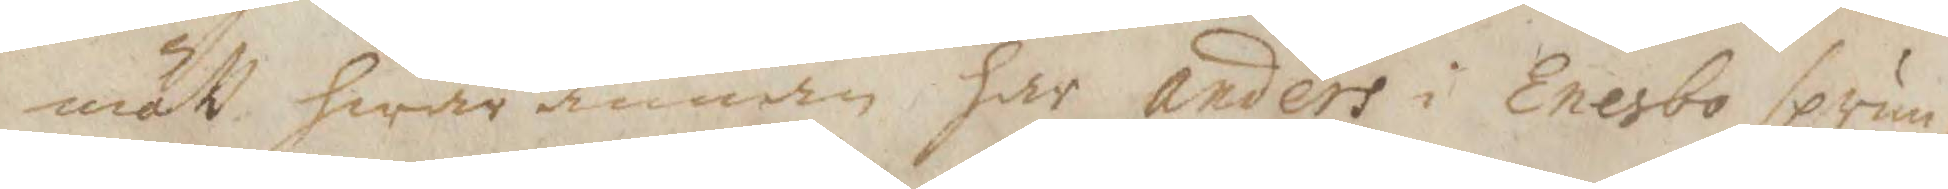mätt hwar annan har anders i Eensbo sprun¬
